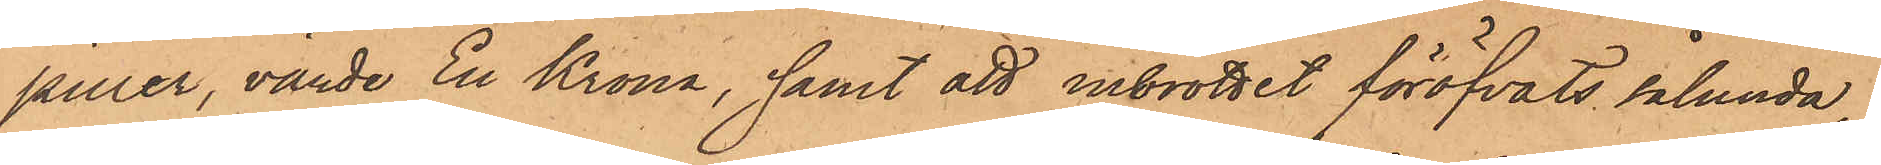piller, värde En Krona, samt att inbrottet föröfvats sålunda,
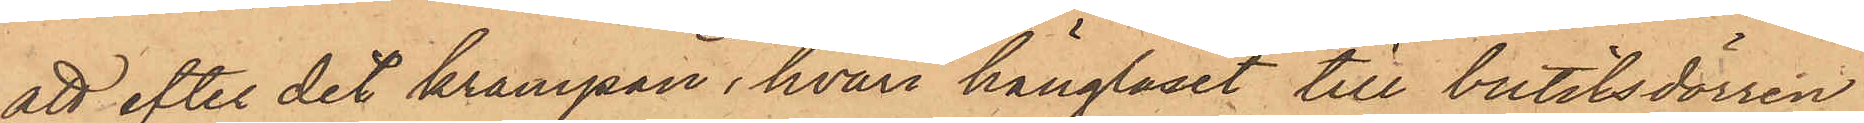att efter det krampan, hvari hänglåset till butiksdörren
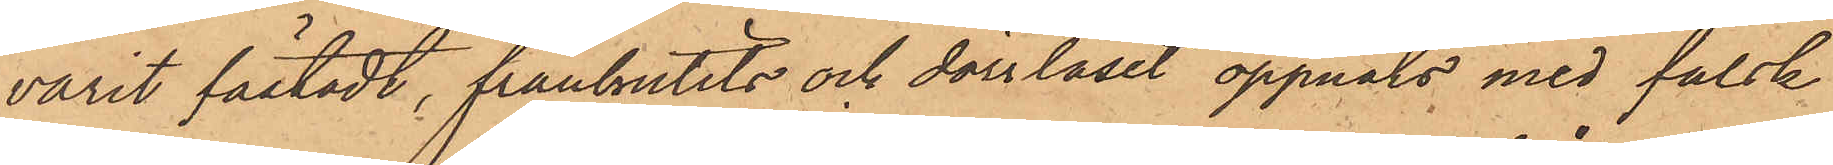varit fästadt, frånbrutits och dörrlåset öppnats med falsk
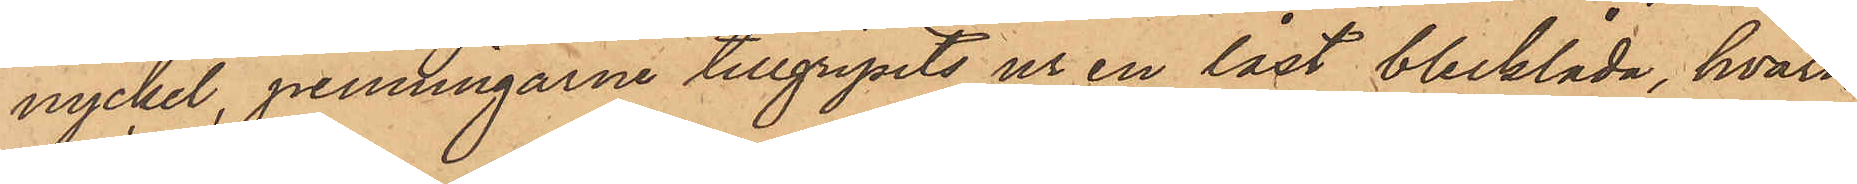nyckel, penningarne tillgripits ur en låst blecklåda, hvari¬
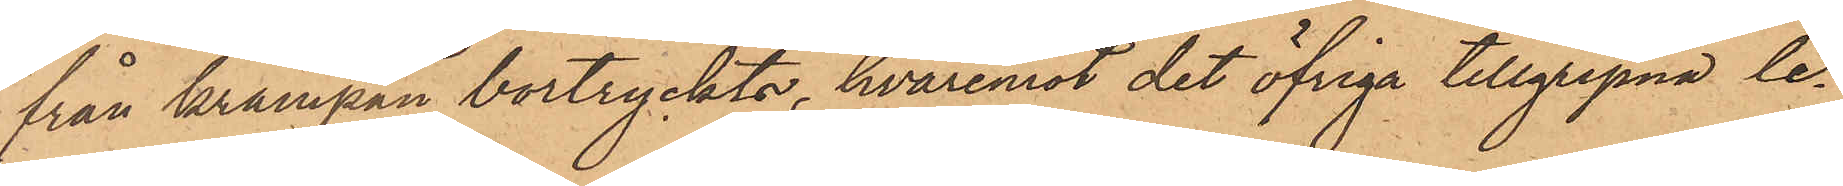från krampan bortryckts, hvaremot det öfriga tillgripna le¬
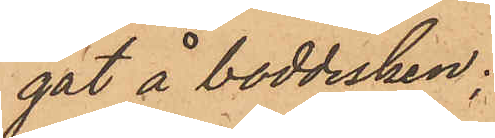gat å boddisken;
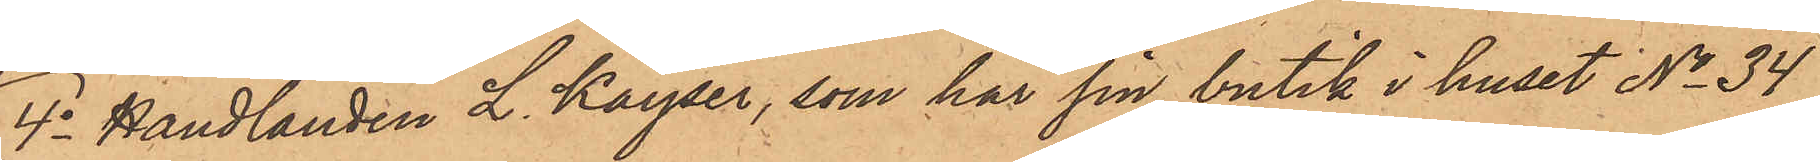4o Handlanden L. Kayser, som har sin butik i huset No 34
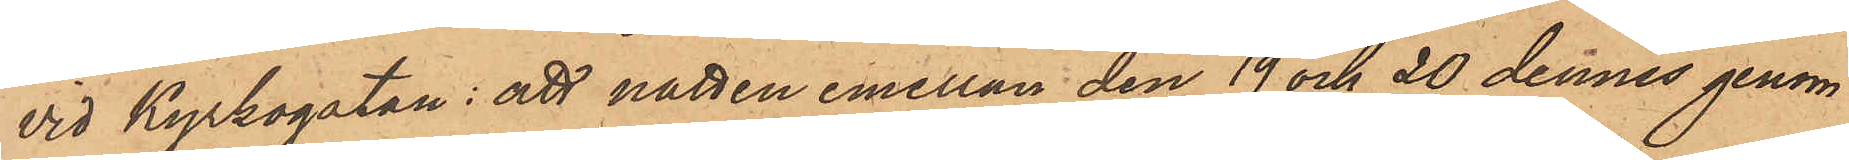vid Kyrkogatan: att natten emellan den 19 och 20 dennes genom
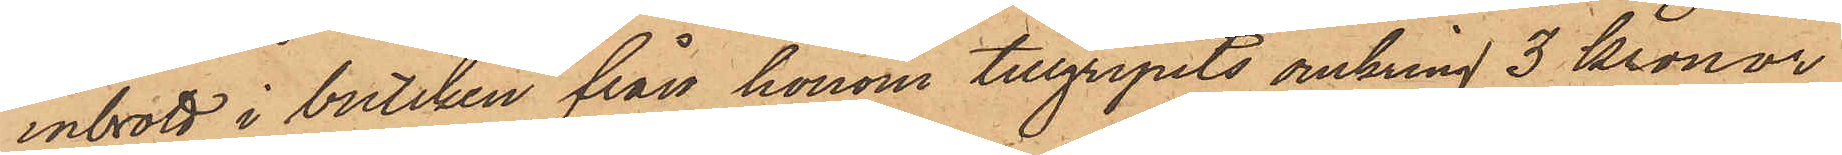inbrott i butiken från honom tillgripits omkring 3 kronor
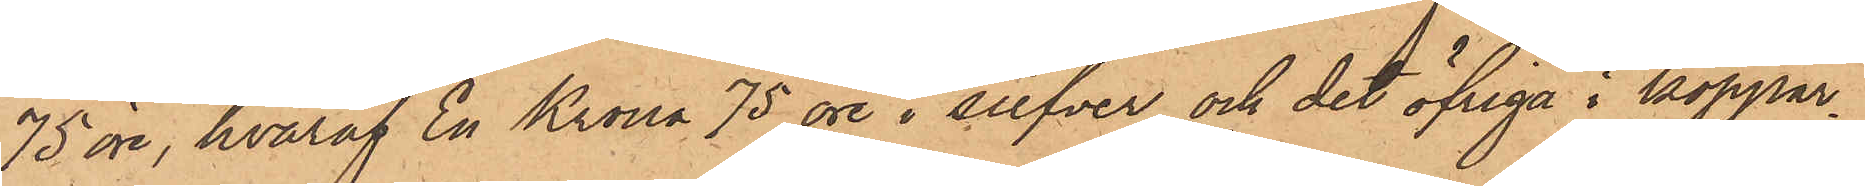75 öre, hvaraf En Krona 75 öre i silfver och det öfriga i koppar¬
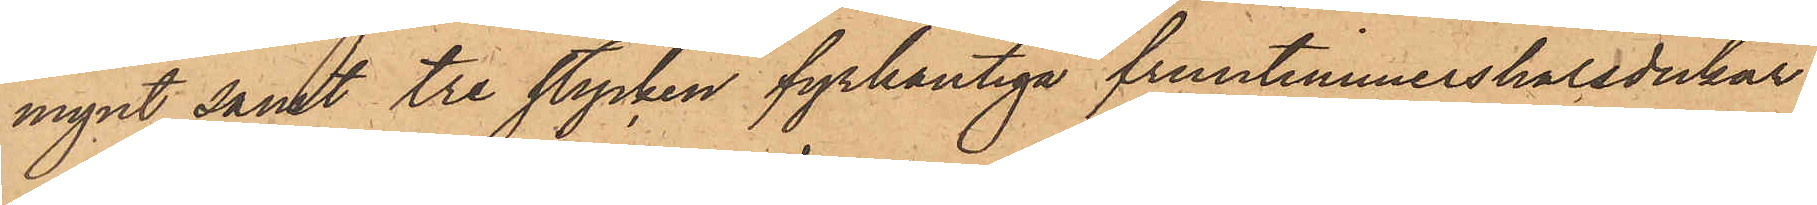mynt samt tre stycken fyrkantiga fruntimmershalsdukar
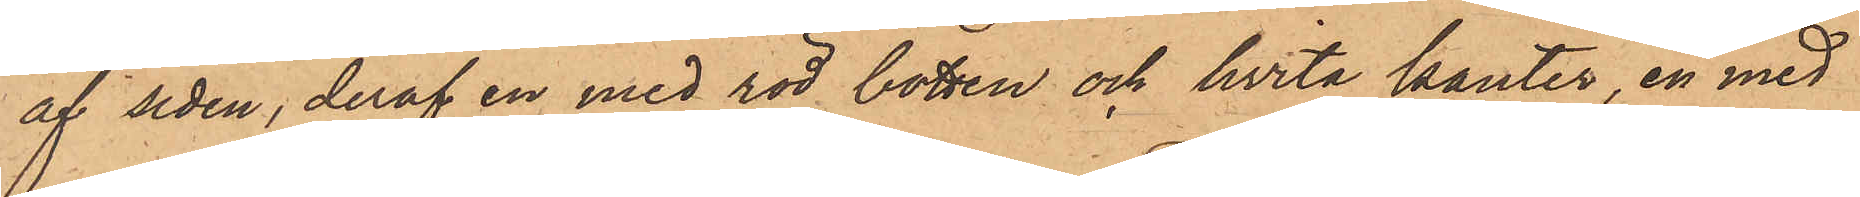af siden, deraf en med röd botten och hvita kanter, en med
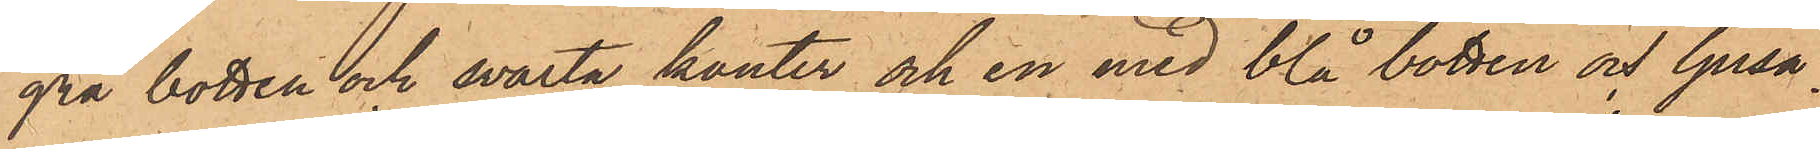grå botten och svarta kanter och en med blå botten och ljusa¬
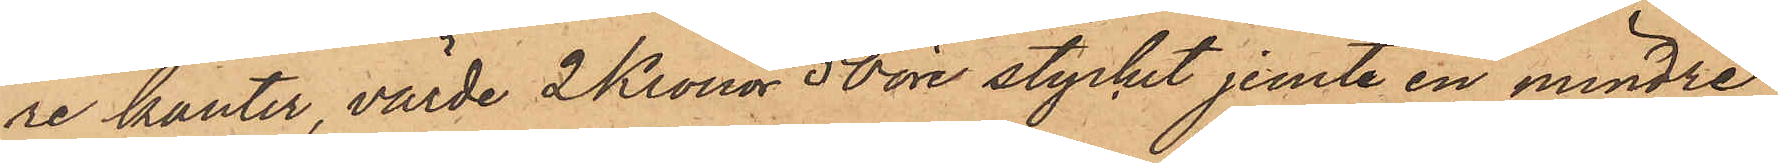re kanter, värde 2 Kronor 50 öre stycket jemte en mindre
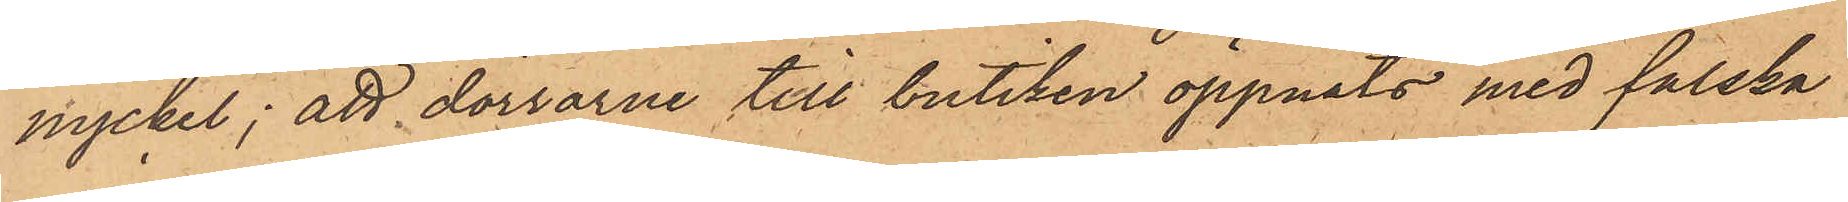nyckel; att dörrarne till butiken öppnats med falska
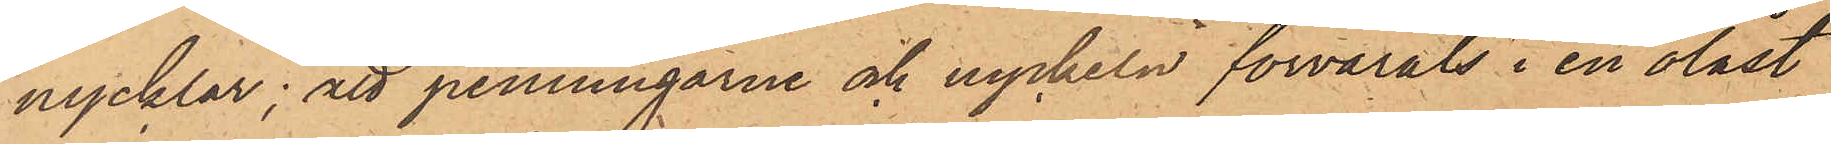nycklar; att penningarne och nyckeln förvarats i en olåst
